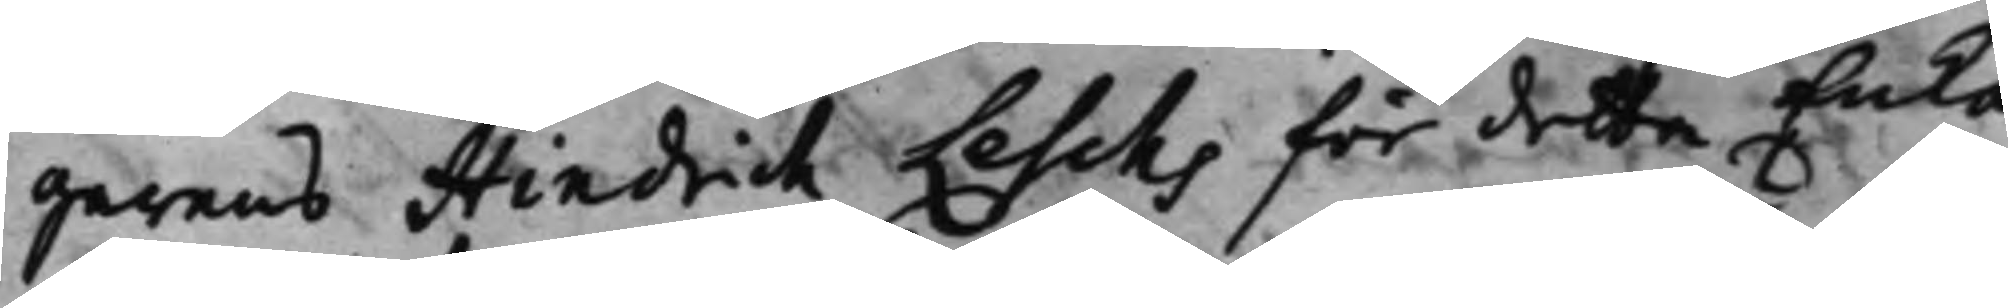garens Hindrich Leschs för detta Enka
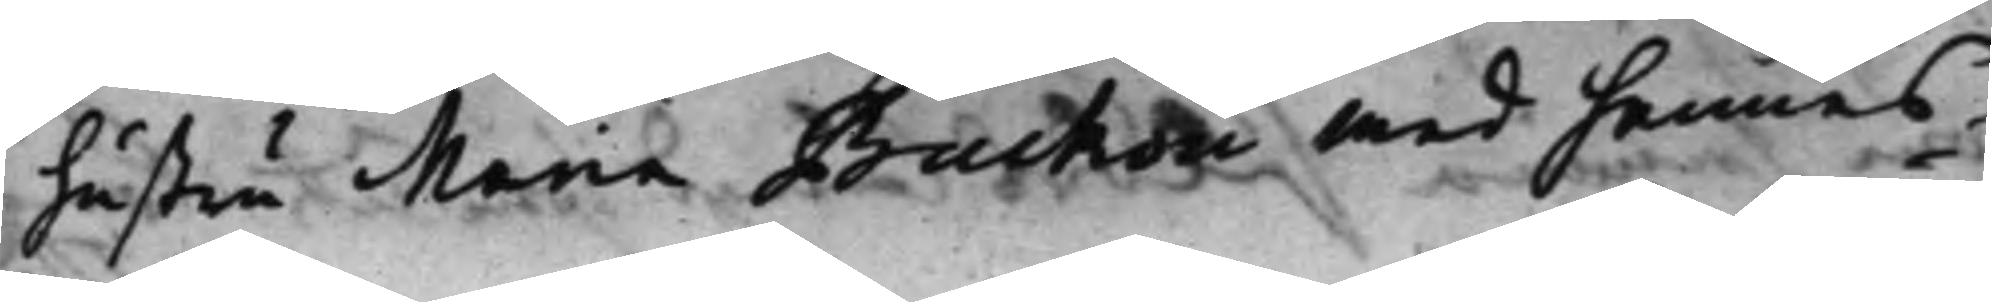hustru Maria Buchon med hennes¬
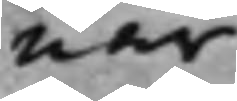när¬
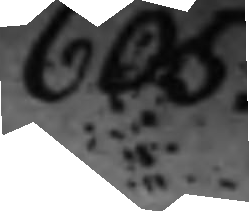605.
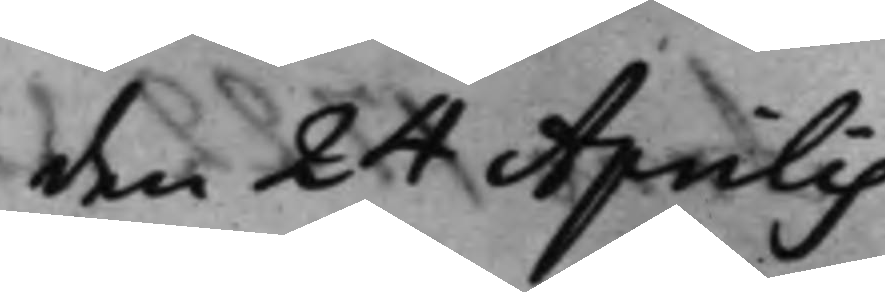den 24 Aprilis
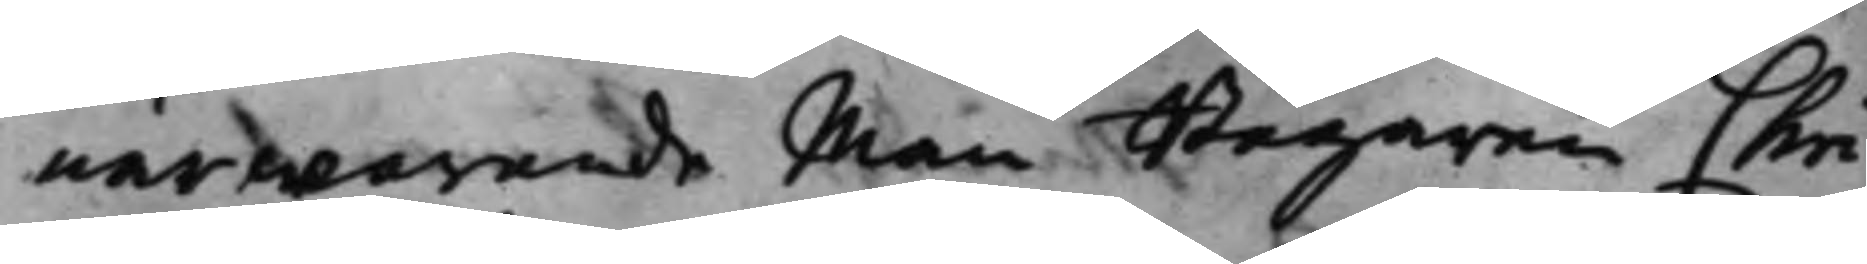närwarande Man Bagaren Chri¬
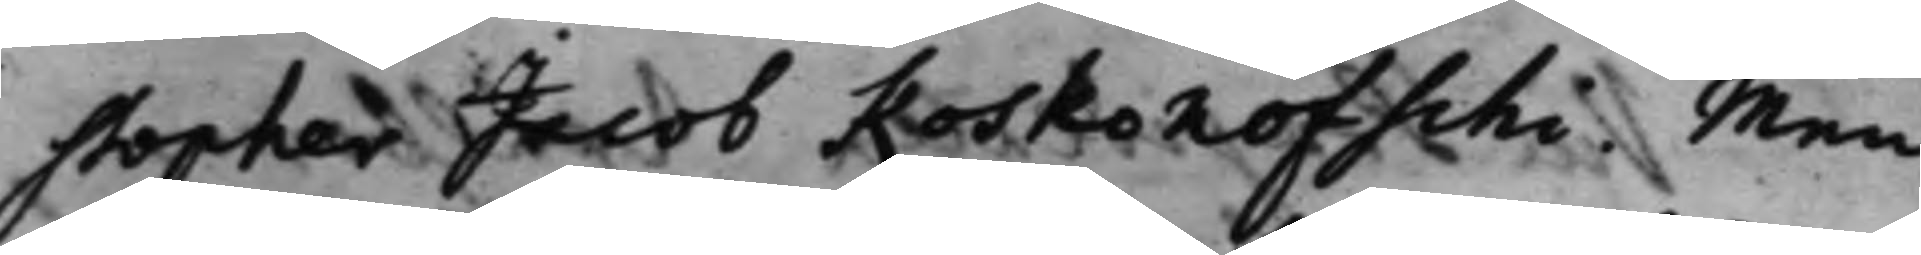stopher Jacob Koskonofschi. Men
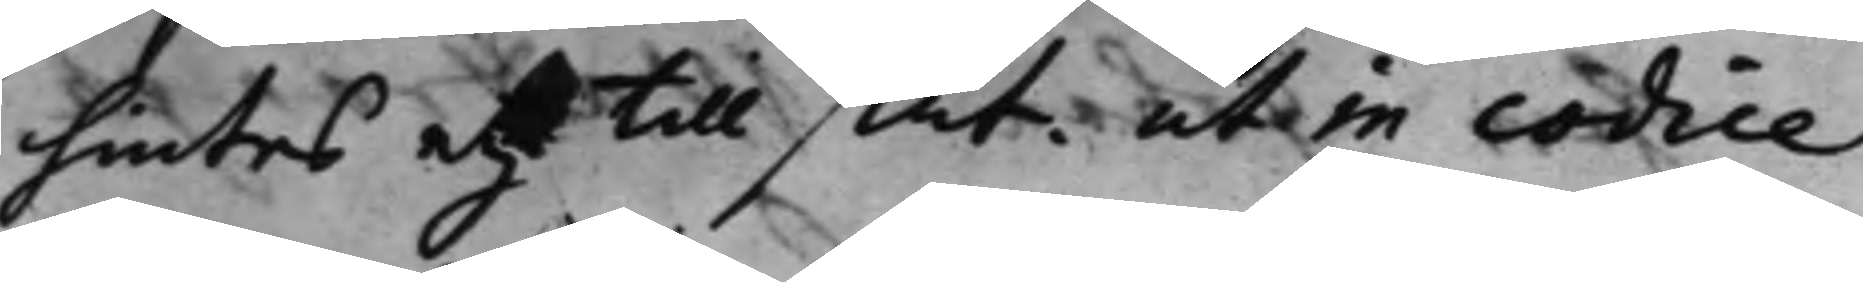hintes och till slut. ut in codice,
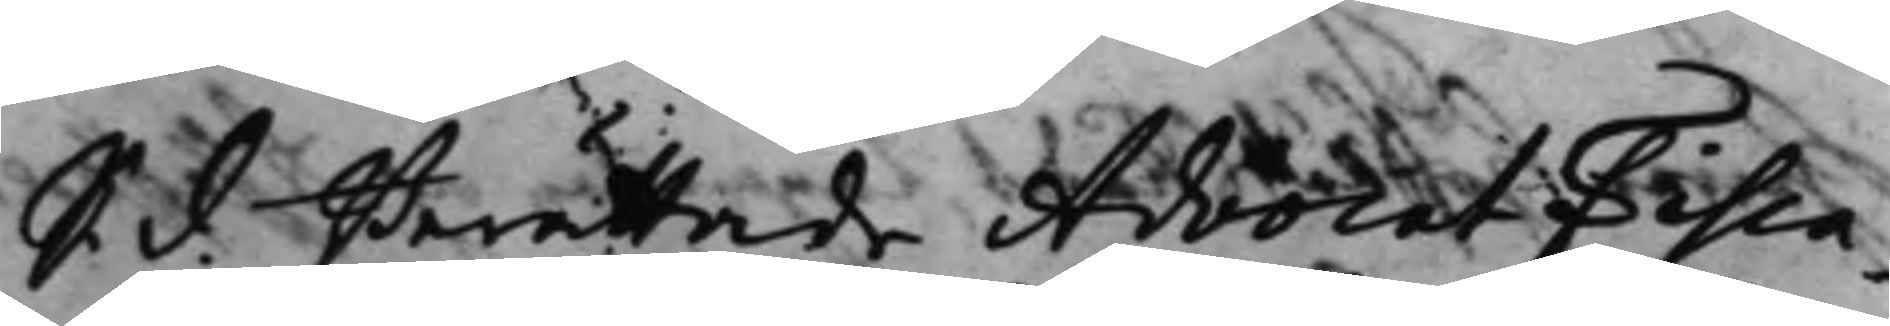S. d. Berättade AdvocatFisca¬
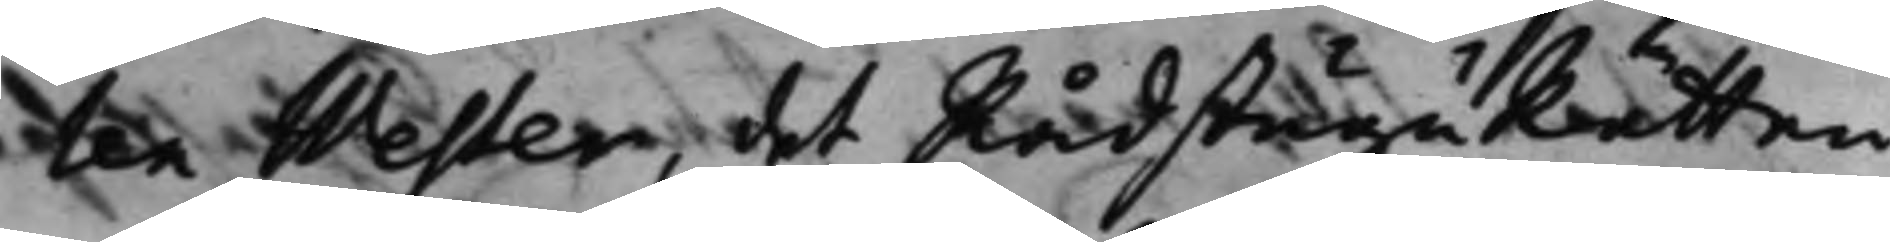len Wester, det RådstuguRätten
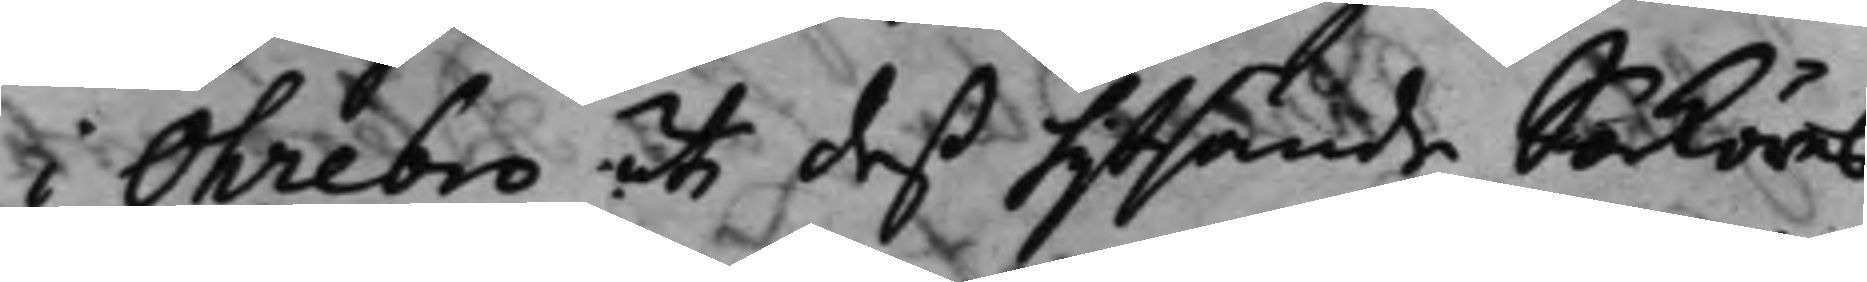i Öhrebro uti deß hijtsände Saköres¬
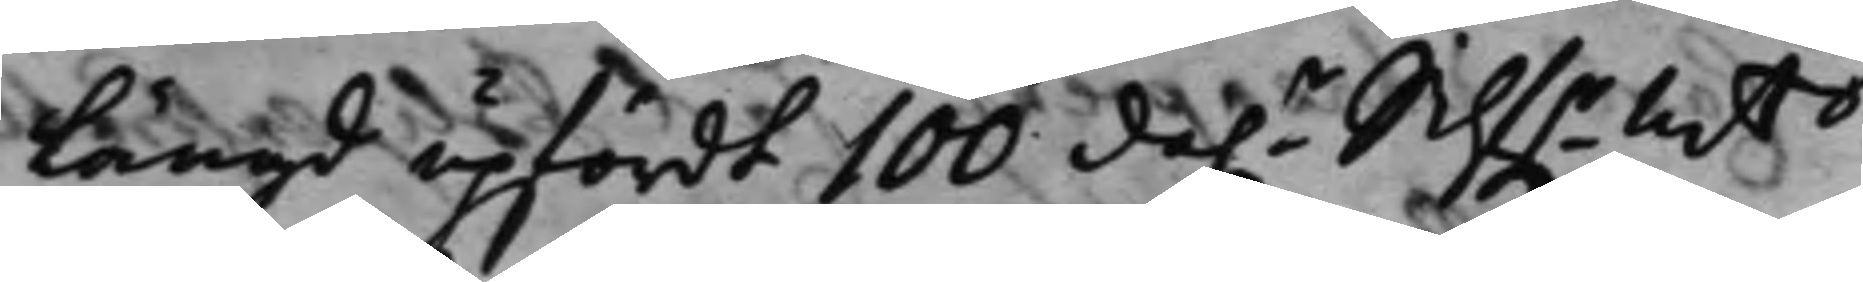Längd upfördt 100 da.r SilfrMts
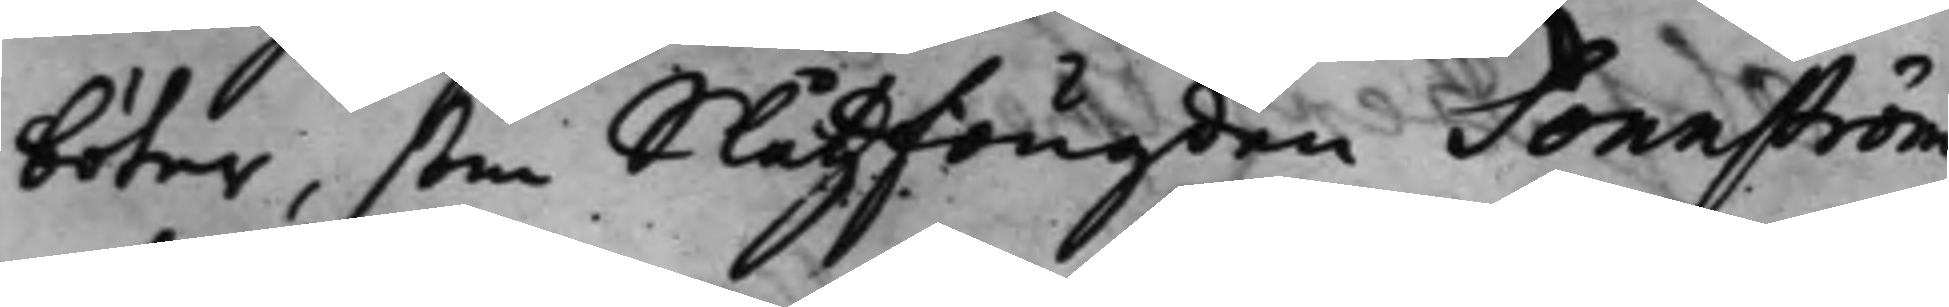böter, som Slåtzfougden Sonnström
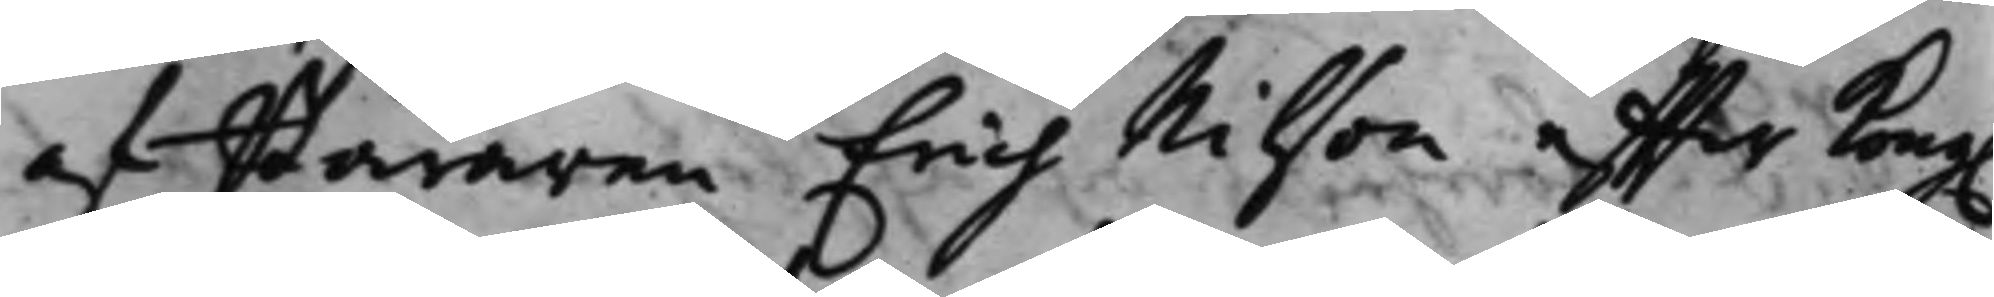af Bäraren Erich Nilson effter Kong.
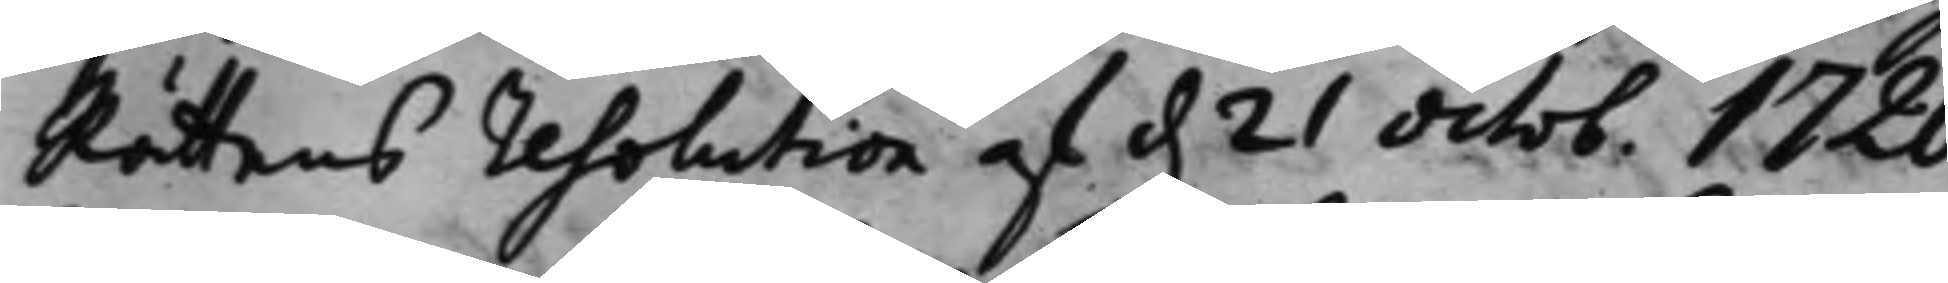Rättens resolution af d. 21 octob. 1720
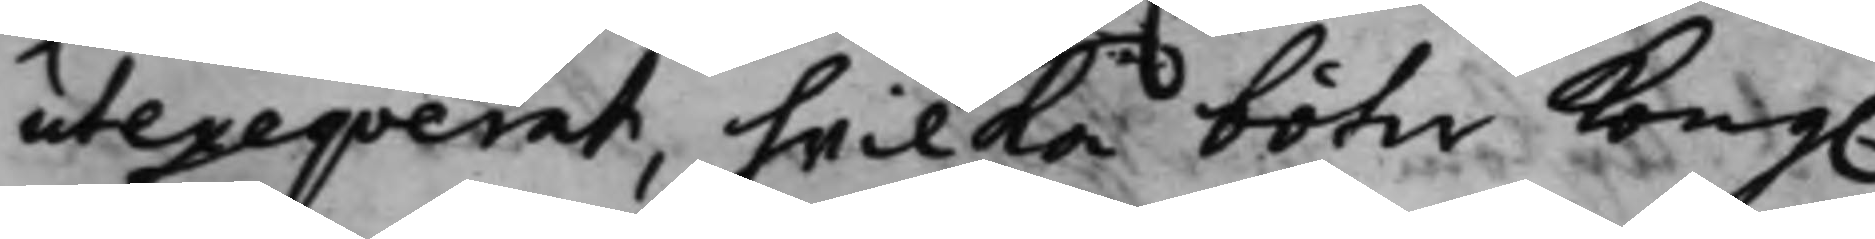utexeqverat, hwilka böter Kong.
